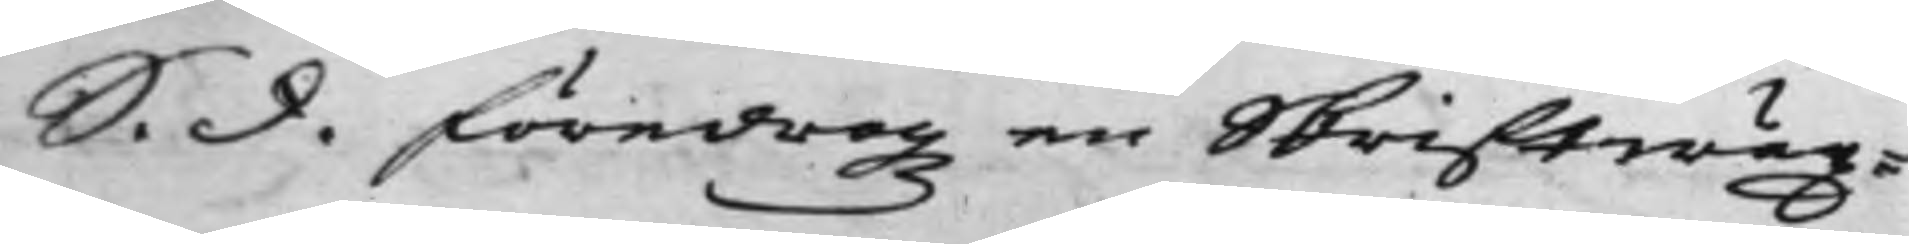S. d. föredrogz en Skriftwäx¬
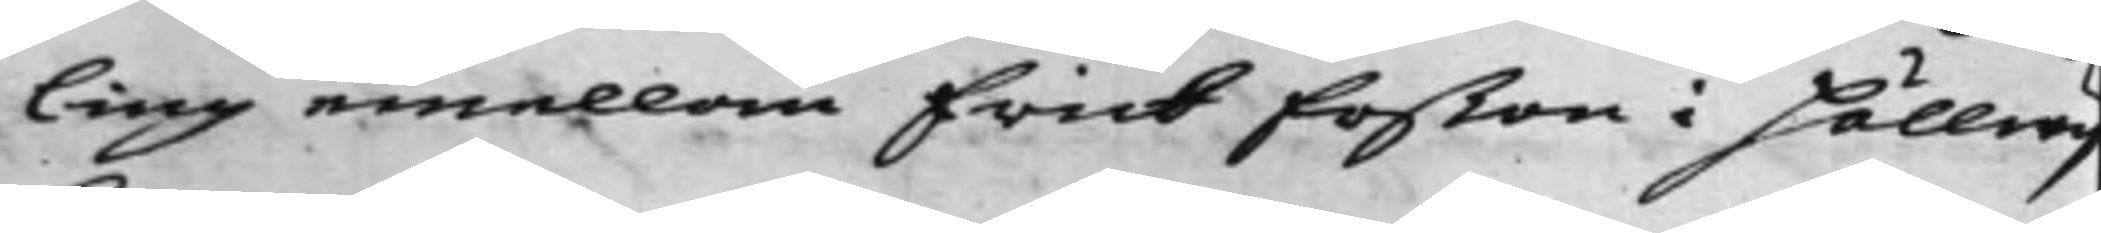ling emellan Erick Erßon i Hällwij¬
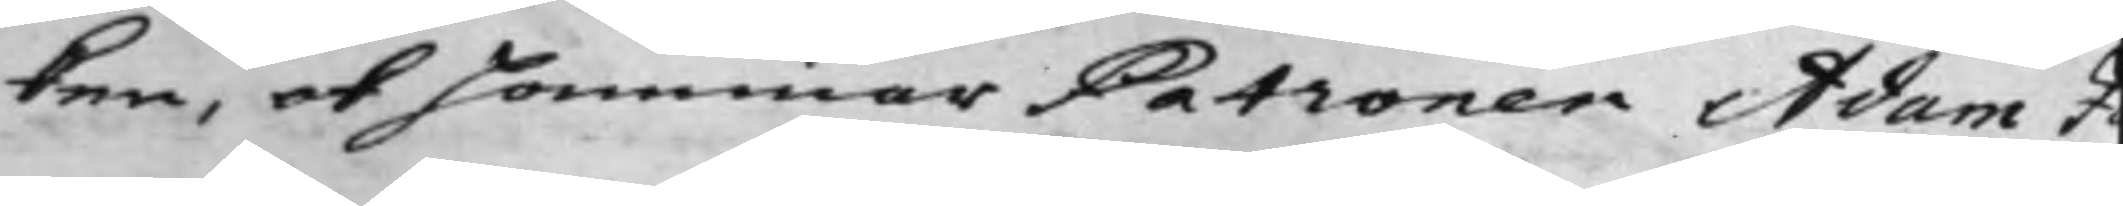ken, ok Hammar Patronen Adam J¬
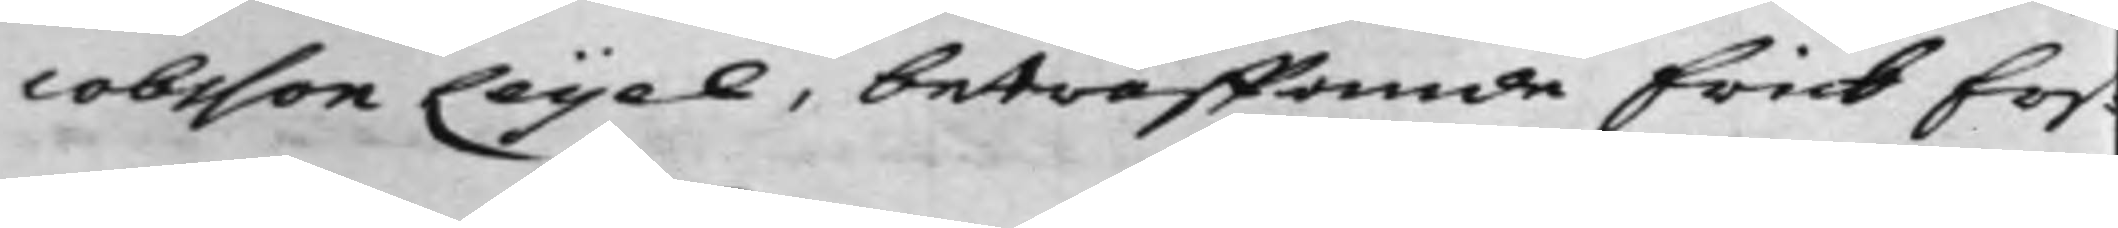cobsson Leijel, beträffande Erick Ers¬
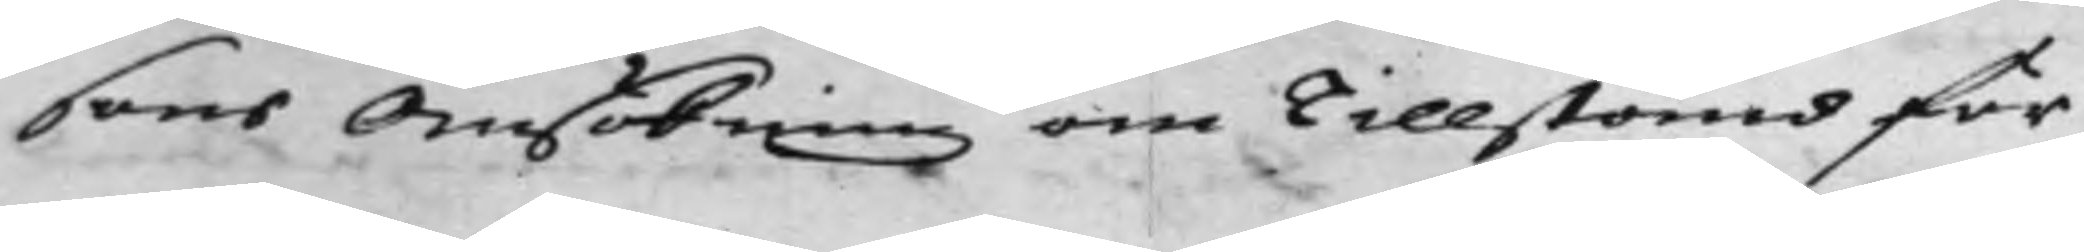sons Ansökning om Tillstånd för 
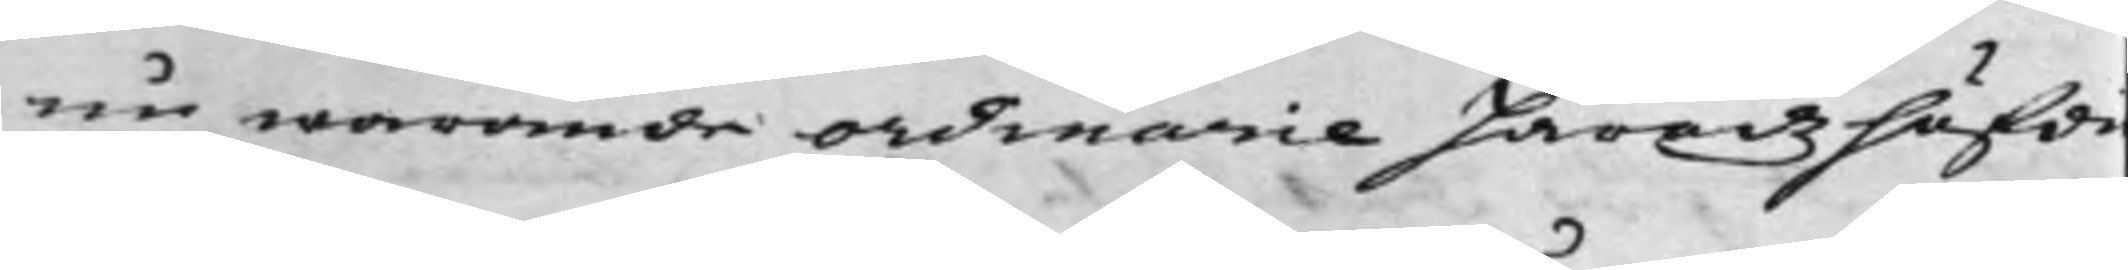nu warande ordinarie Häradzhöfdi¬
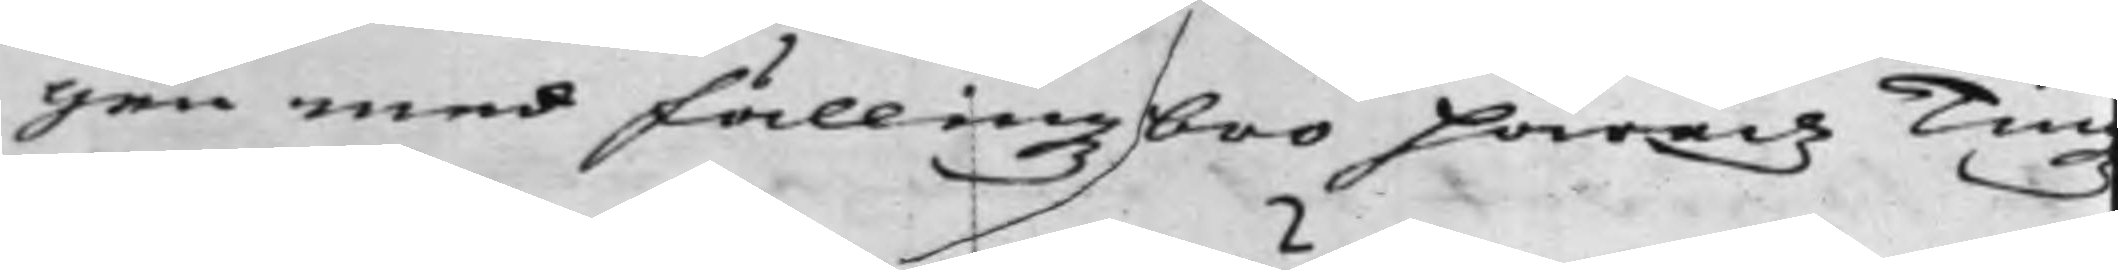gen med Fällingzbro Härads Tingz
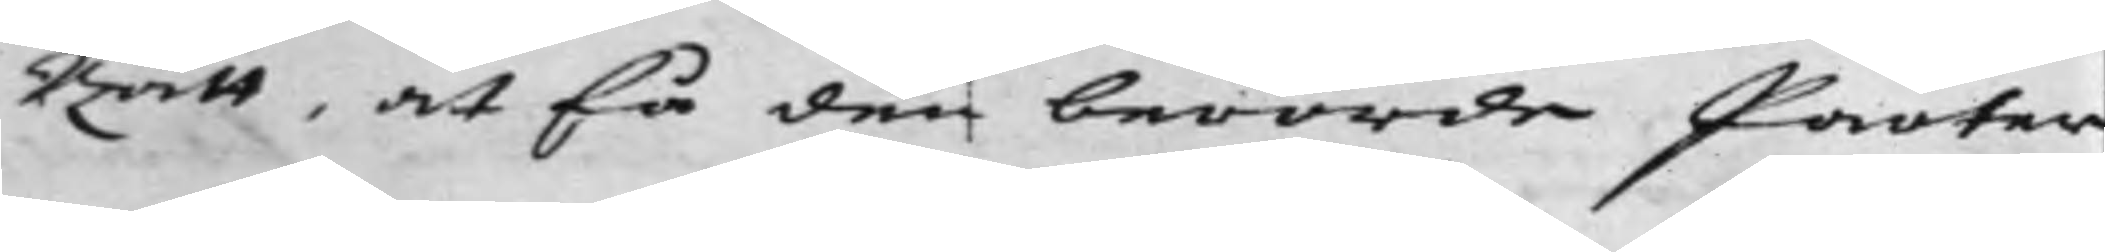Rätt, at få den berörde Parter
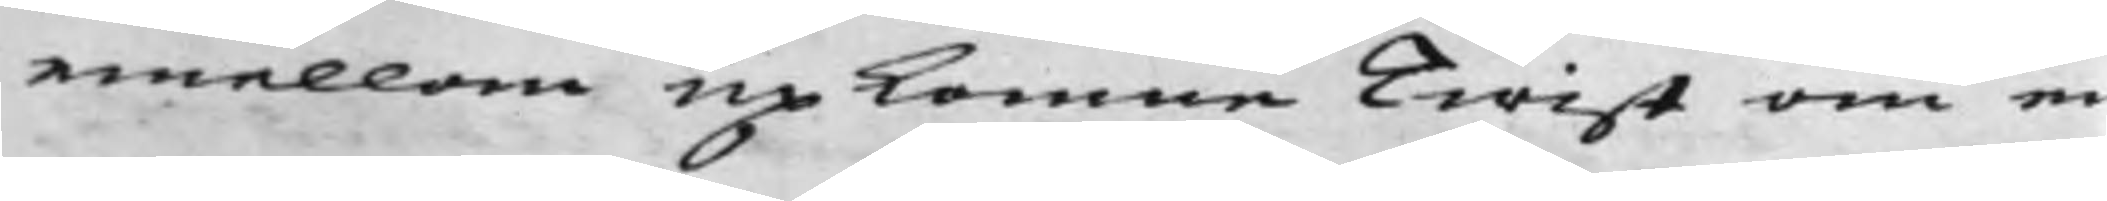emellan upkomne Twist om e
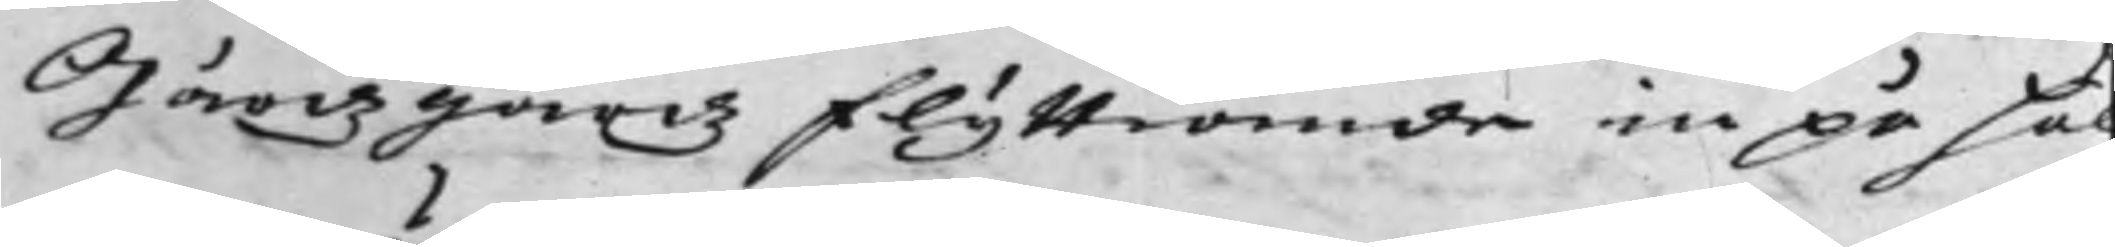Gärdsgårdz Flyttiande in på Häl¬
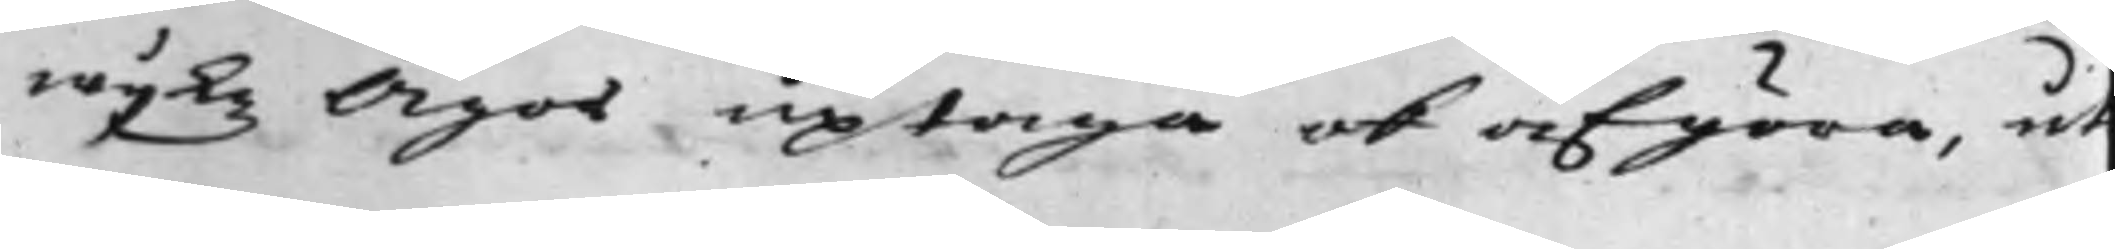wijkz Ägor uptaga och afgöra, ut
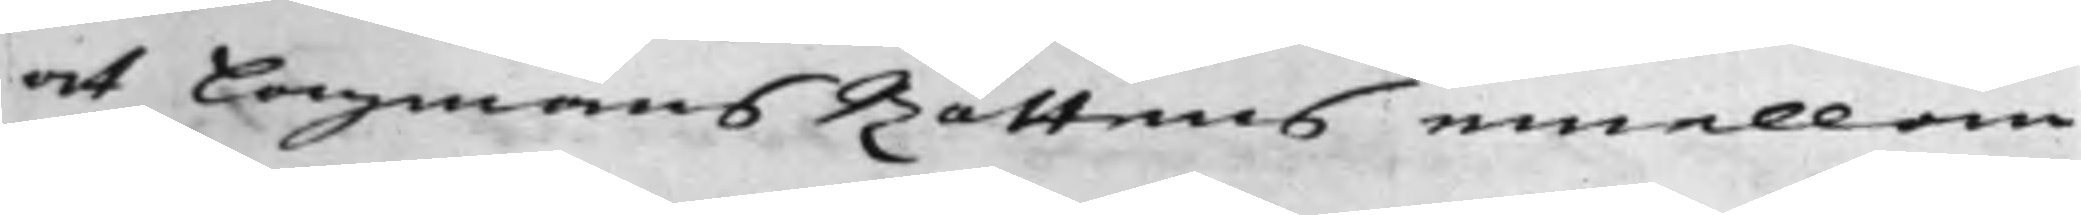at LagmansRättens emellan
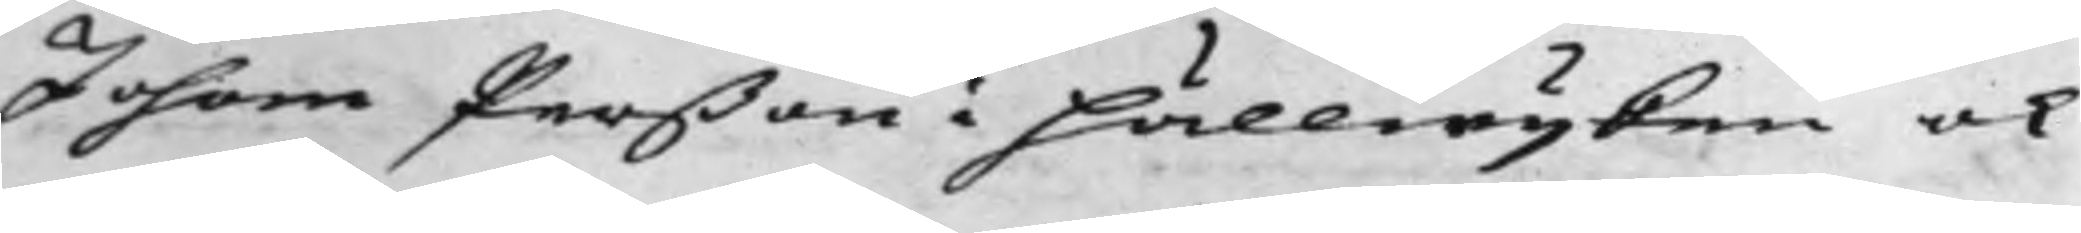Johan Perßon i Hällwijken och
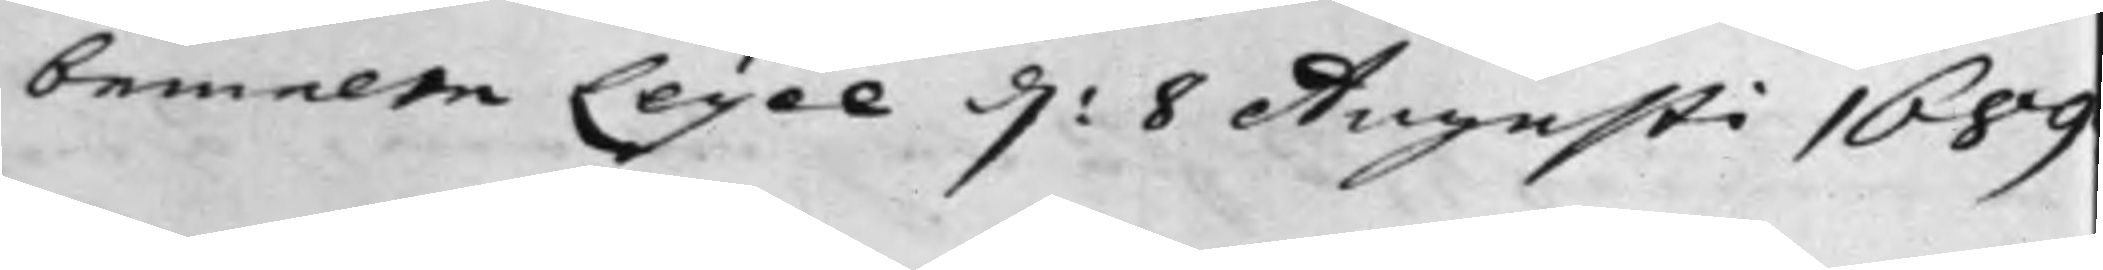bemelte Leijel d. 8 Augusti 1689
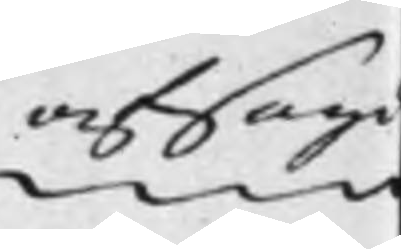afsagd
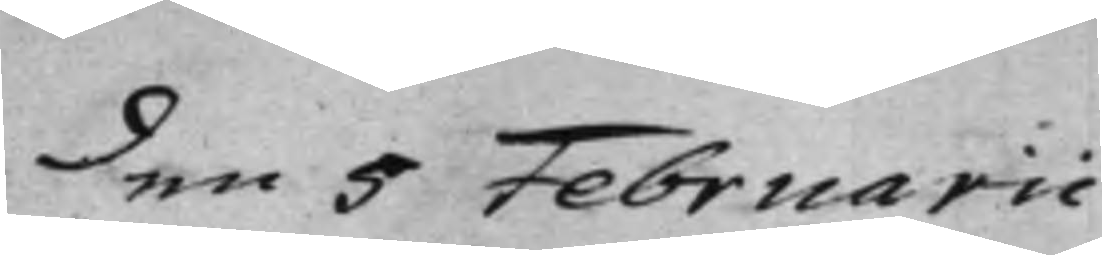den 5 Februarii.
